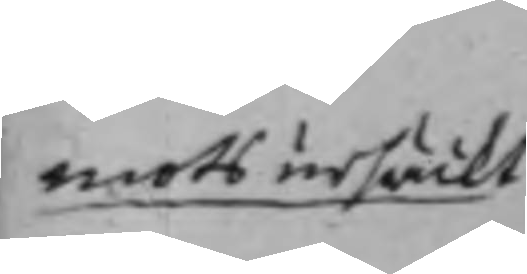mots ursäckt.
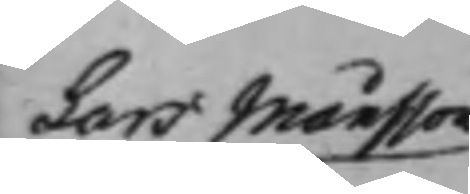Lars Månsson
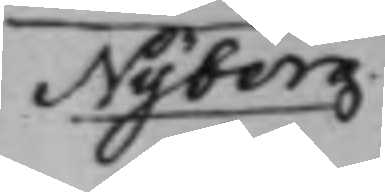Nyberg
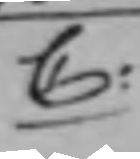C:
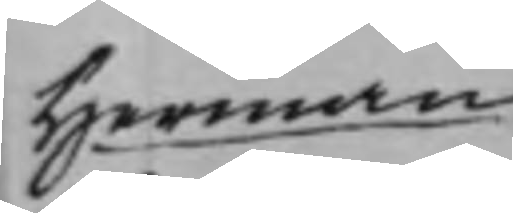Herman
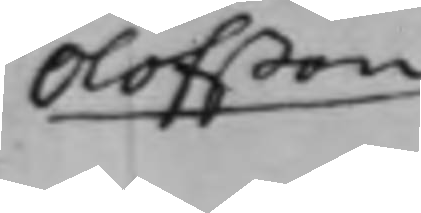Olofßon.
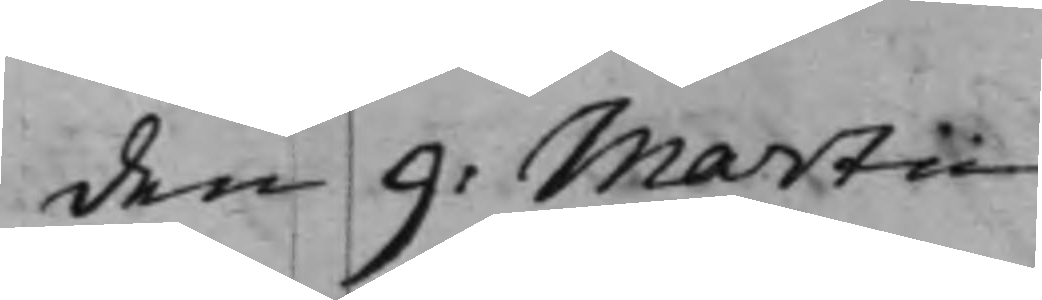den 9: Martii
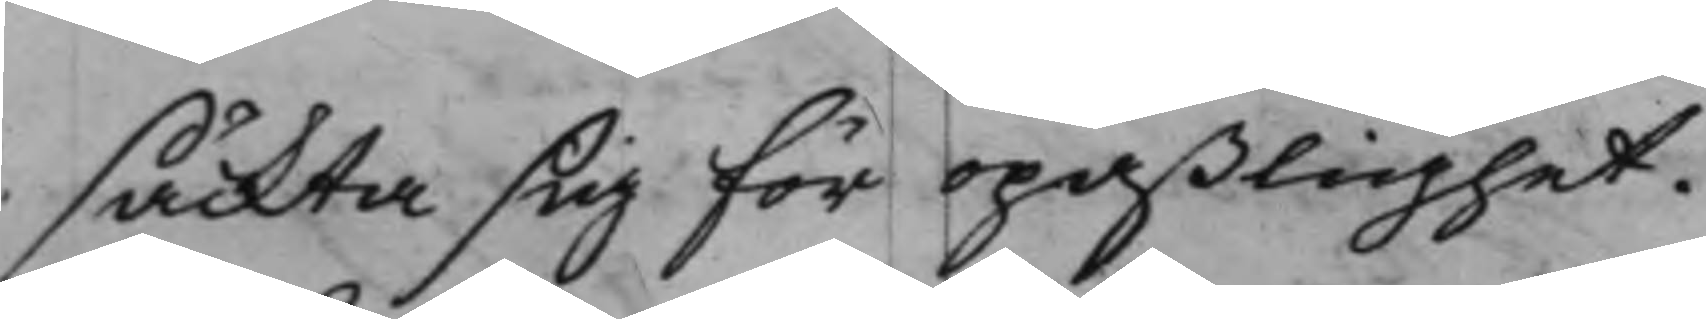säckta sig för opaßlighet.
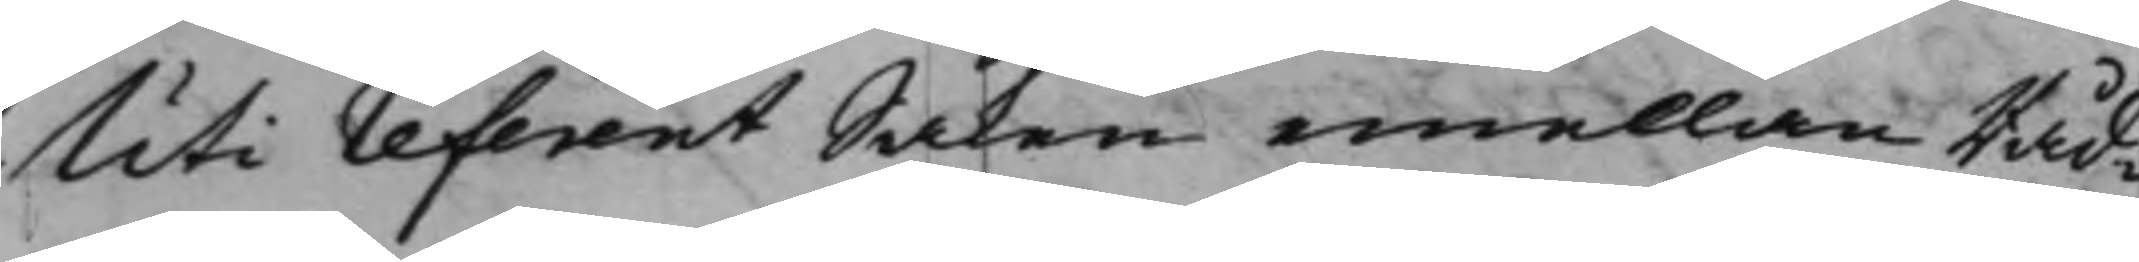Uti referent Saken emellan Råd¬
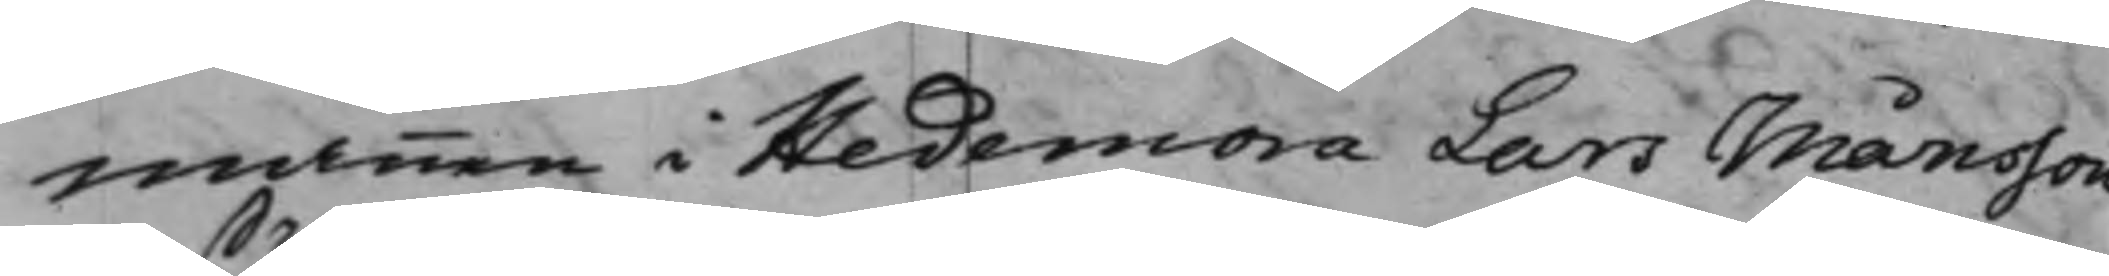mannen i Hedemora Lars Månsson
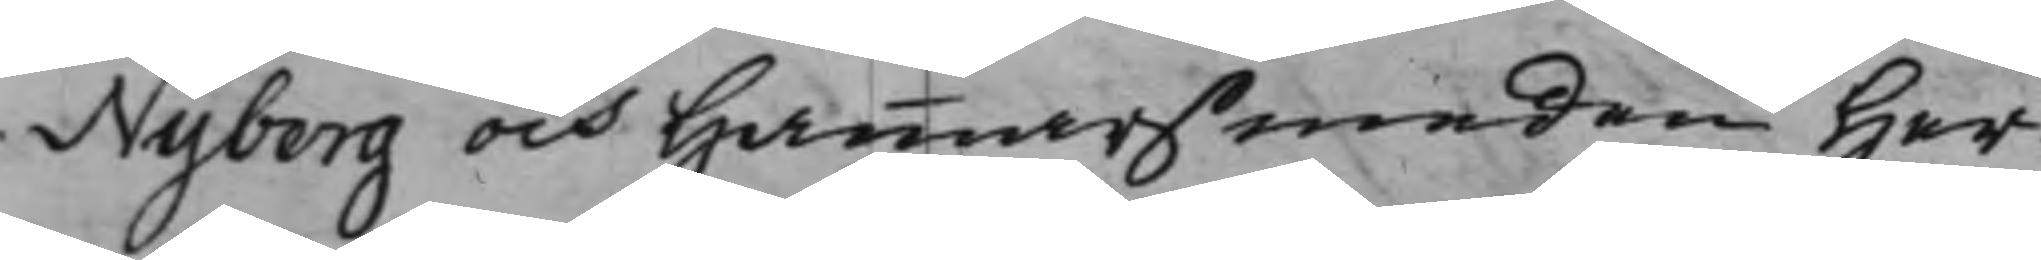Nyberg och Hammarsmeden Her¬
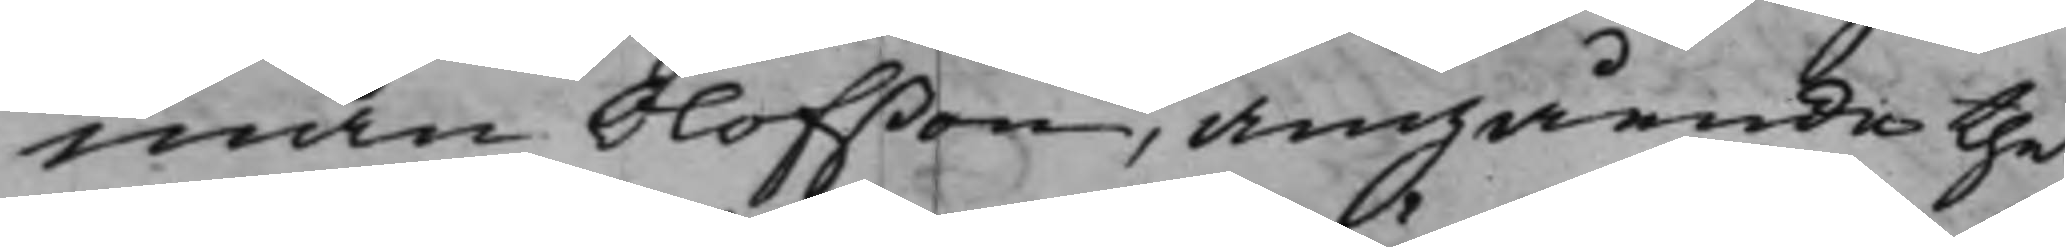man Olofßon, angående thet
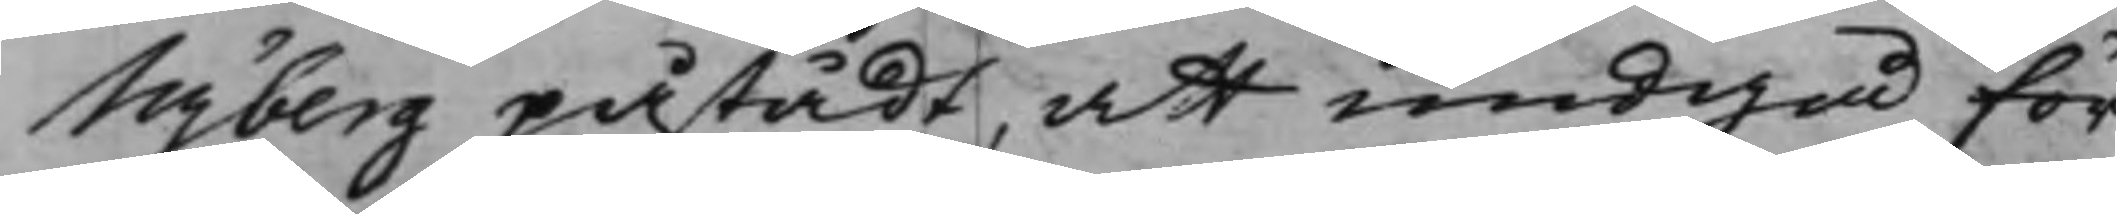Nyberg påstådt, att undgå för¬
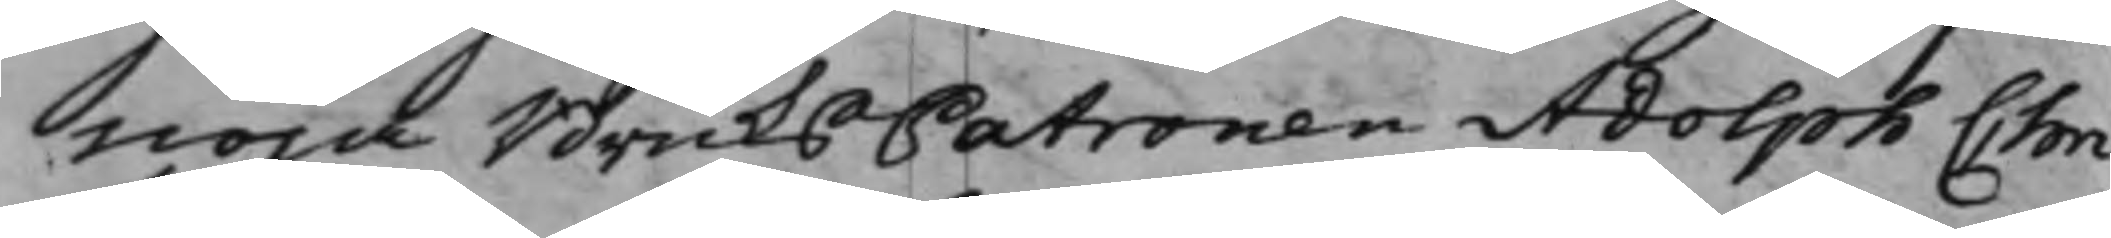nöja BruksPatronen Adolph Chri¬
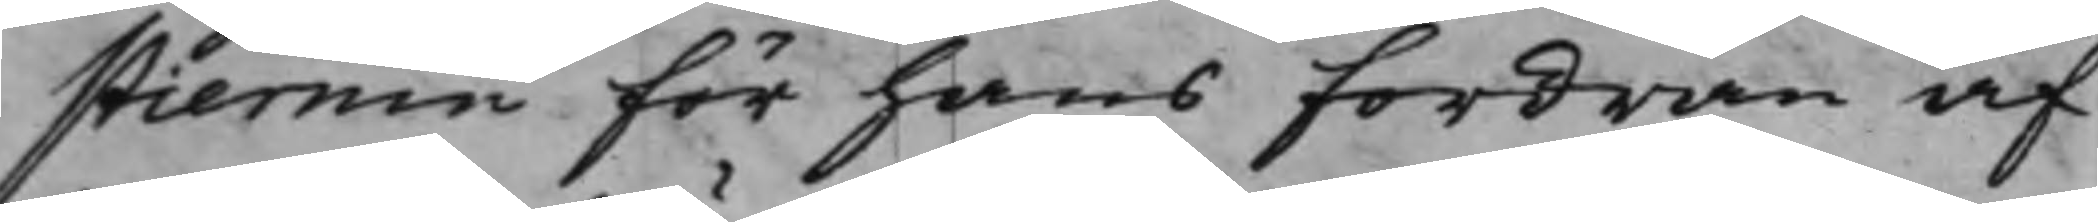stiernin för hans fordran af
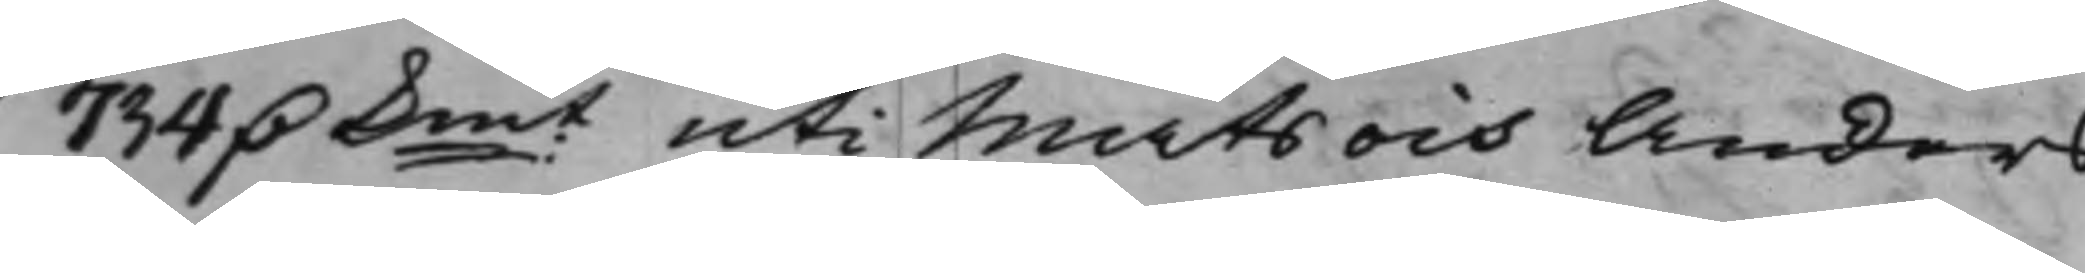734 D. Kmt uti Mats och Anders
